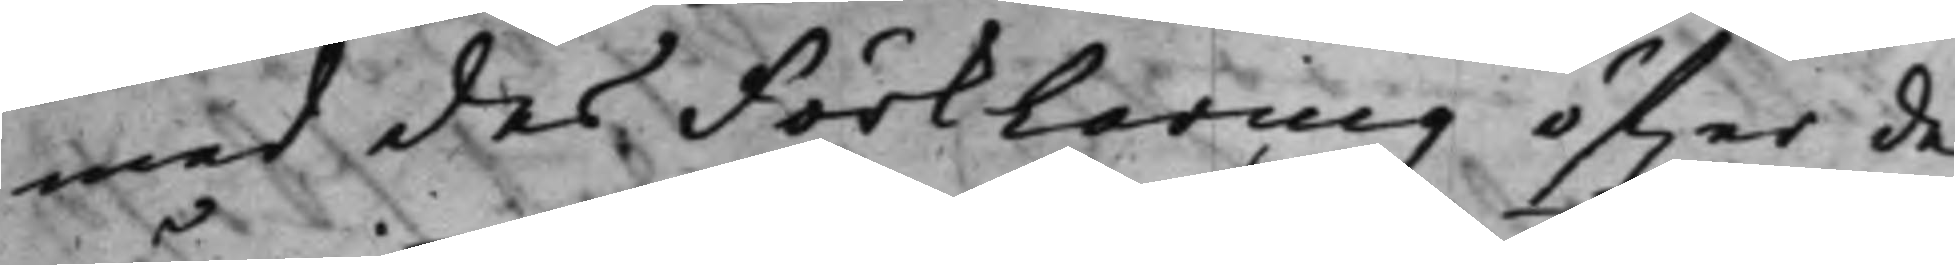med des Förklaring öf.er de
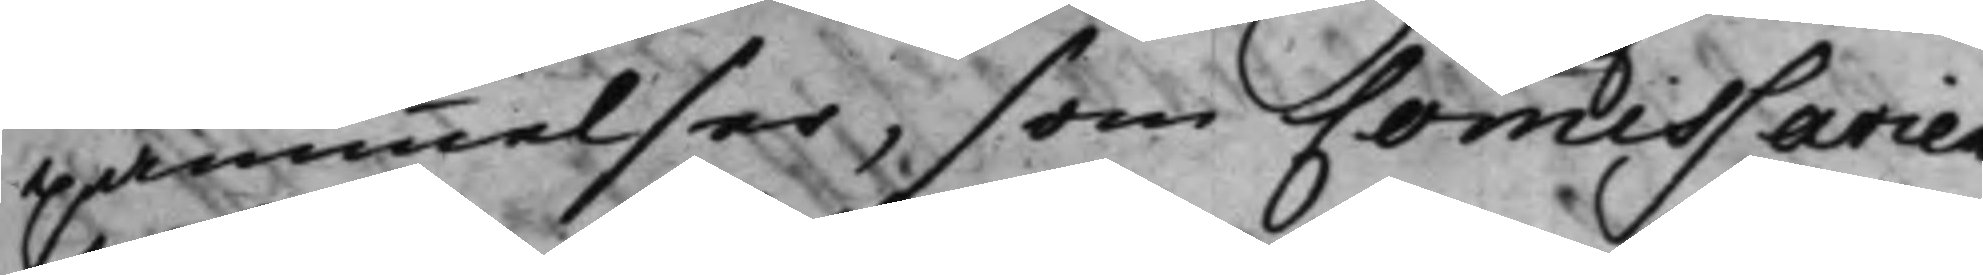påminnelser, som Comissarien
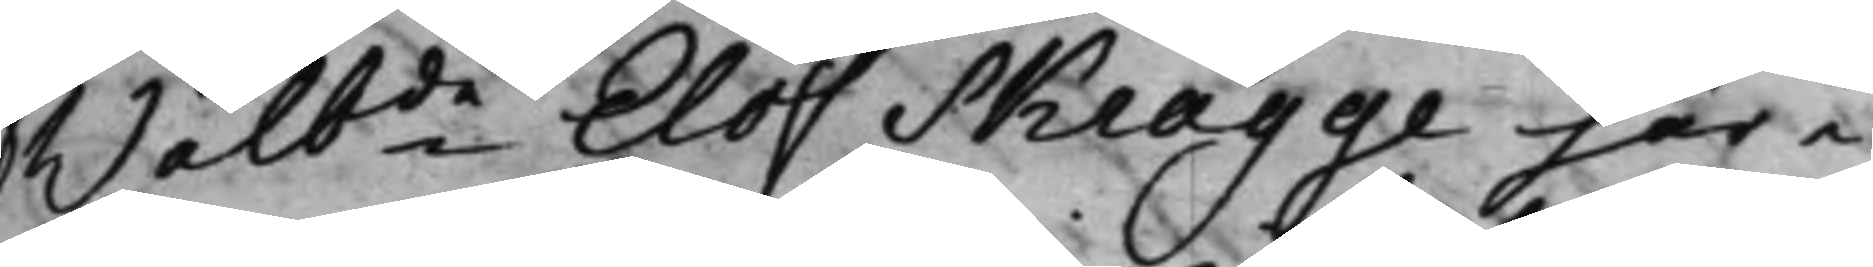Wälb.de Eloff Skragge här i
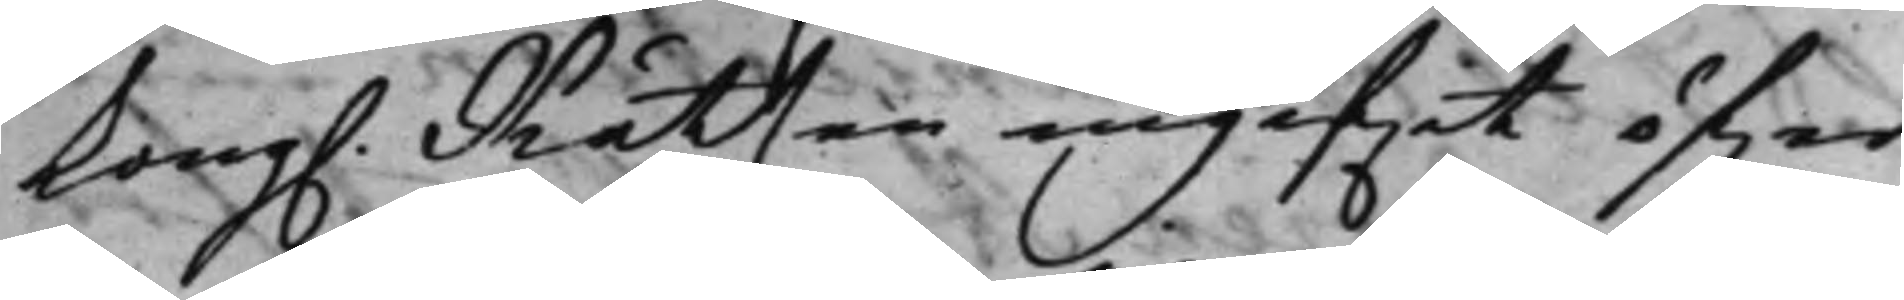Kong. Rätten ingif.it öfwer
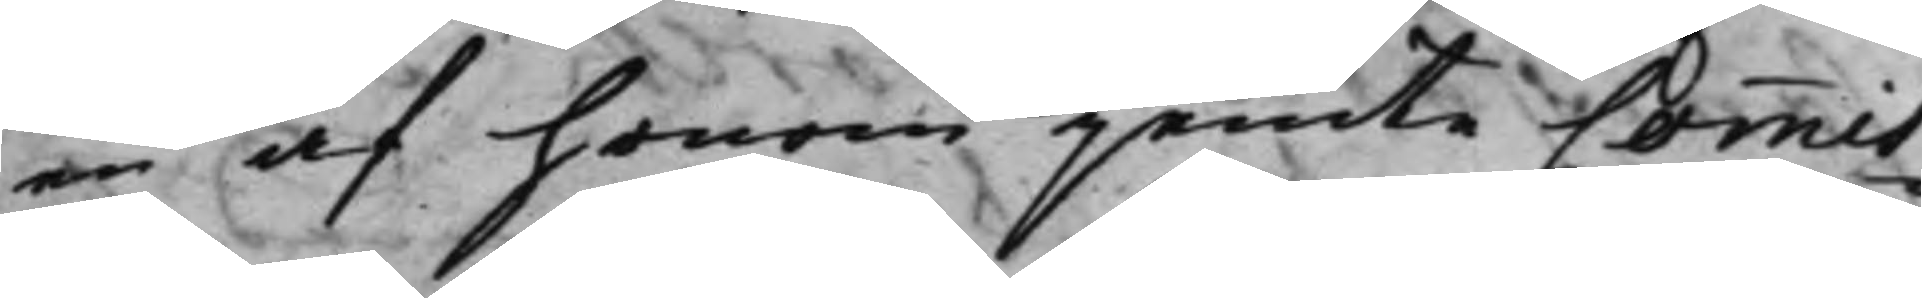en af honom jemte Commis¬
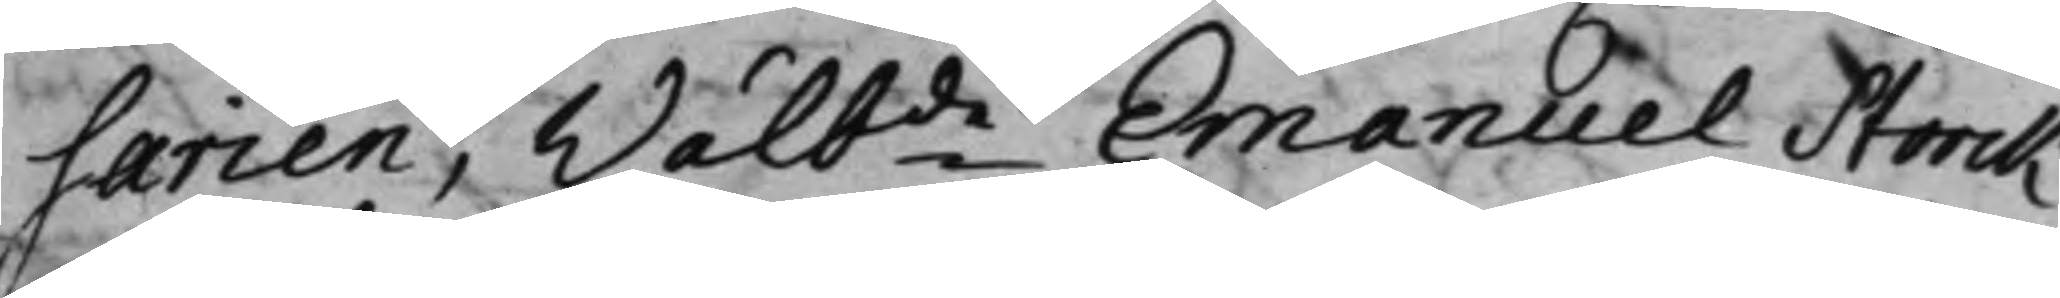sarien, Wälb.de Emanuel Storck
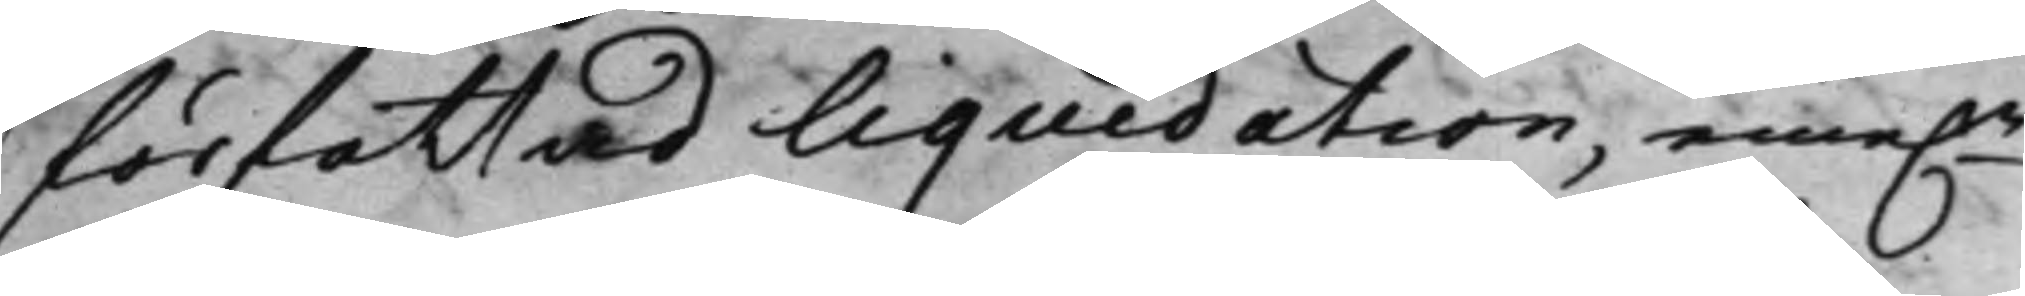författad liquidation, eme.n
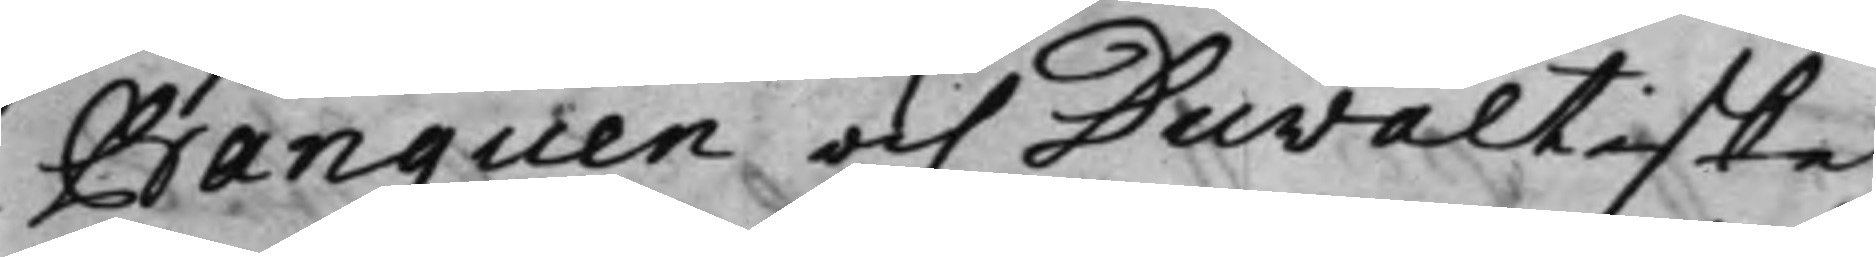Banquen och Duwaltiske
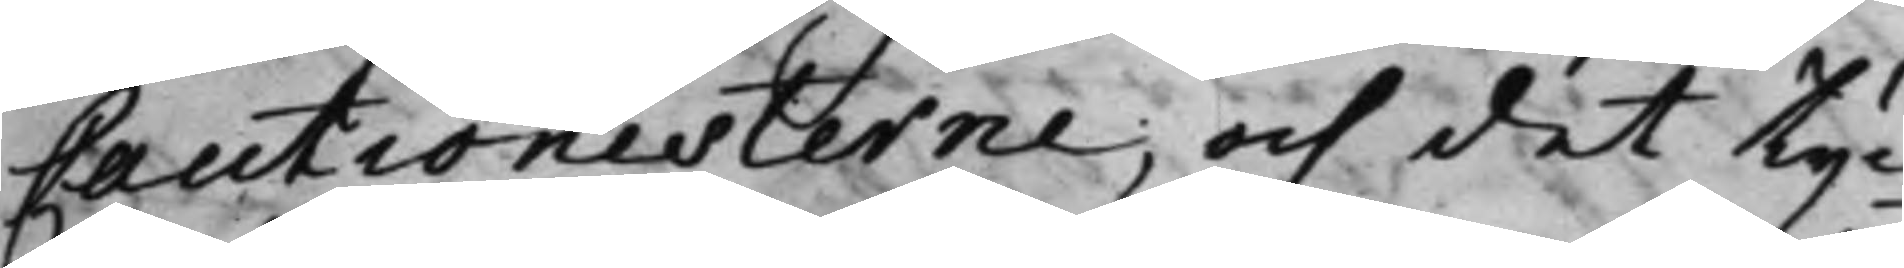Cautionisterne, och det tyc¬
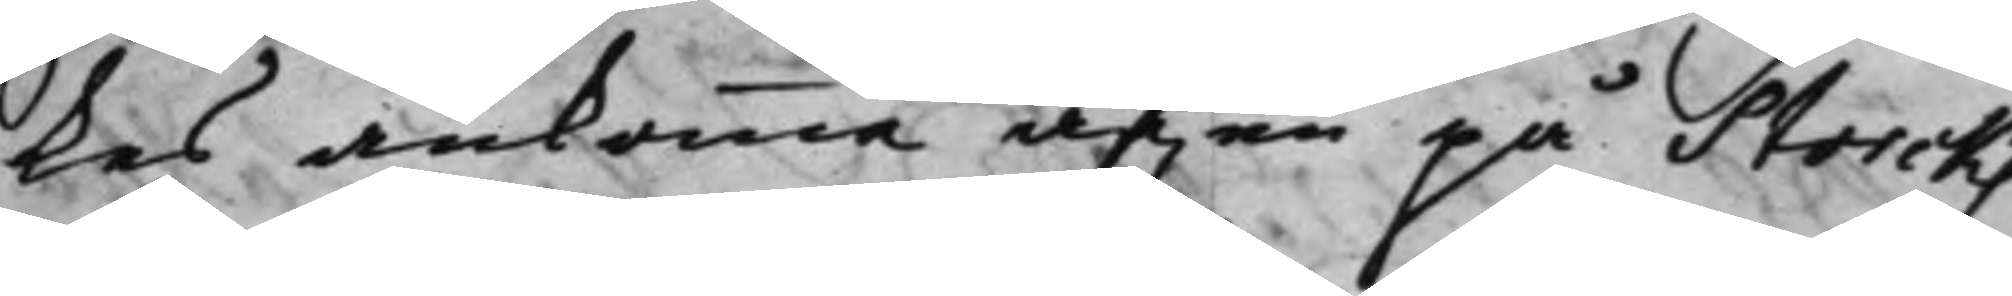ckes ankomma äf.en på Storcks
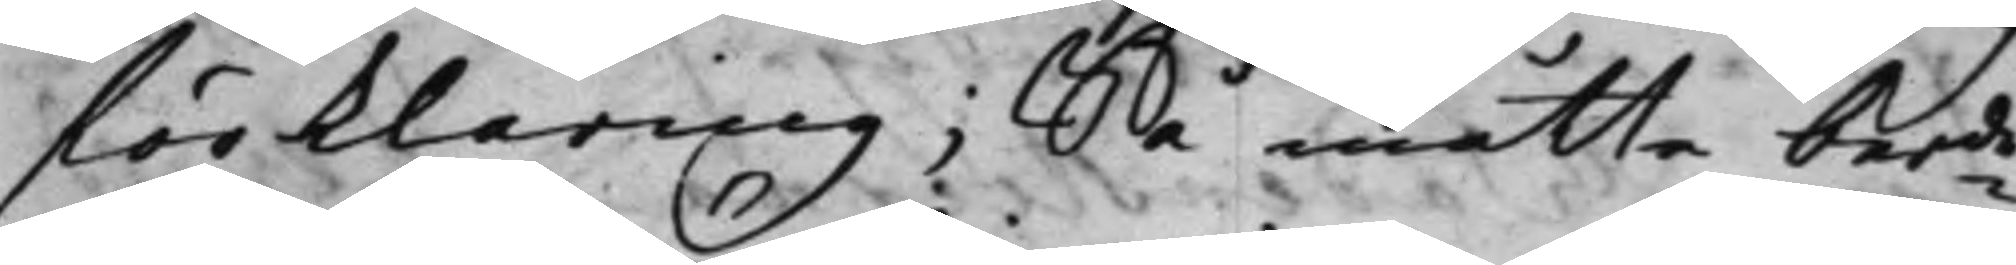förklaring; Så måtte ber.de
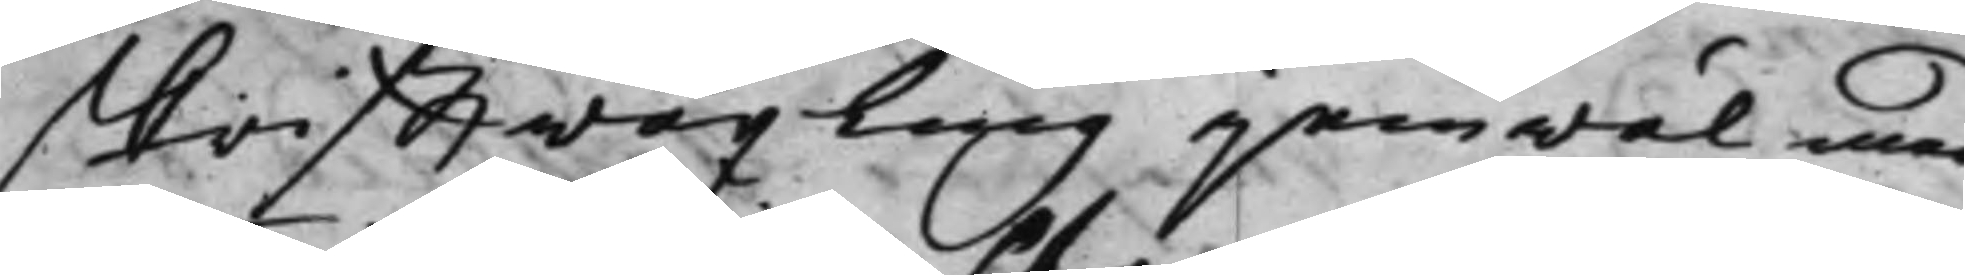skrifftwäxling jemwäl med
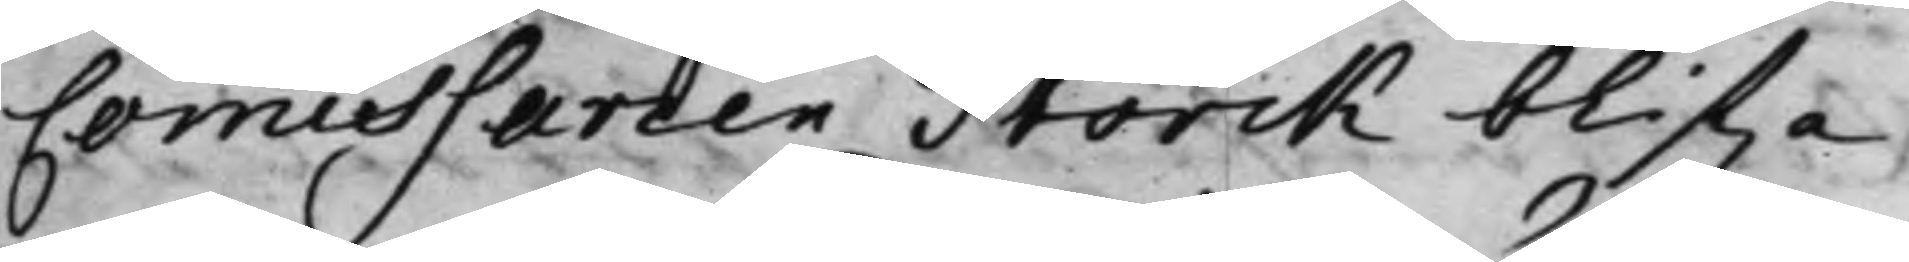Commissarien Storck blif.a
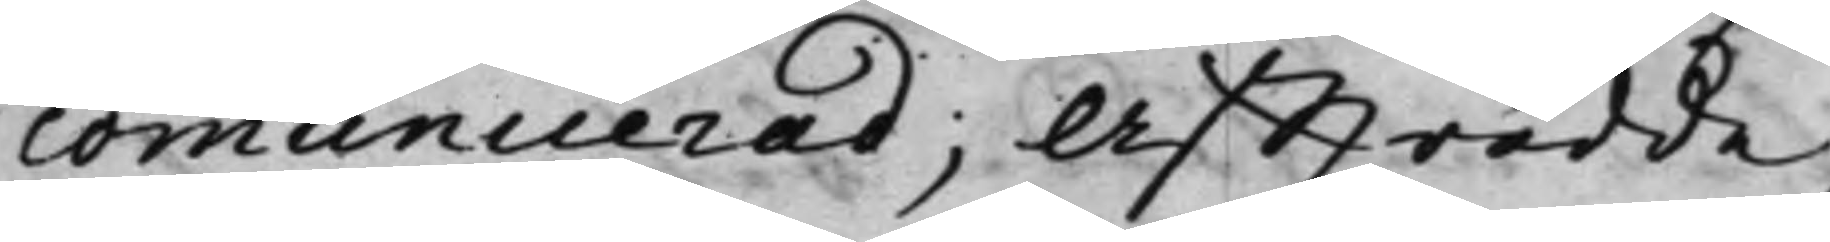communicerad; Affträdde;
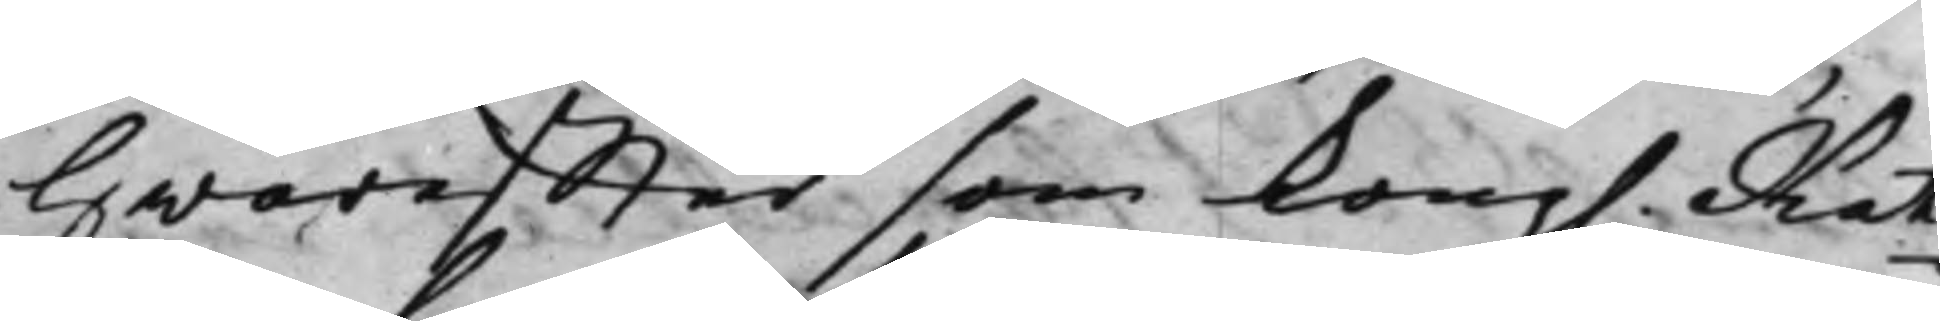Hwareffter som Kong. Rät¬
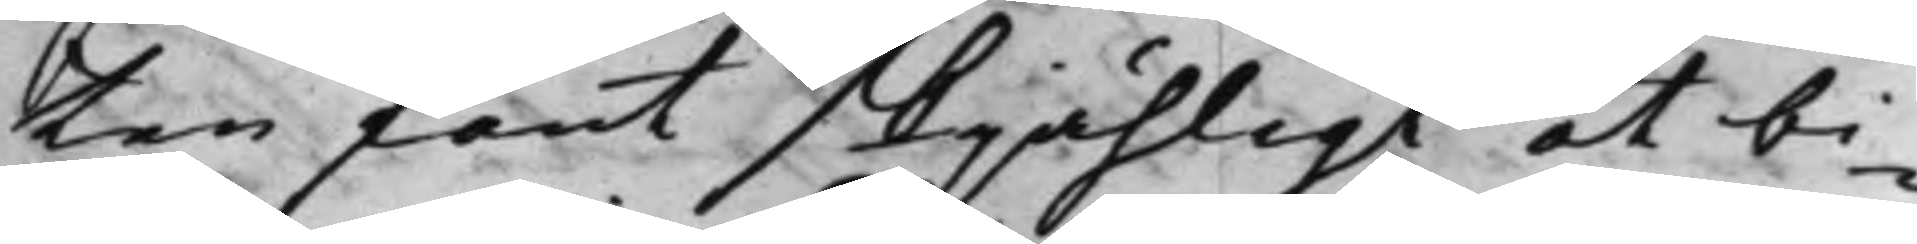ten fant skjähligt at bi¬
